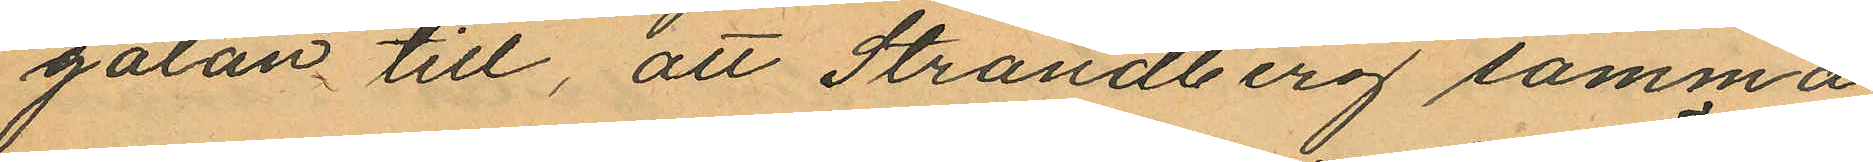gatan till, att Strandberg samma
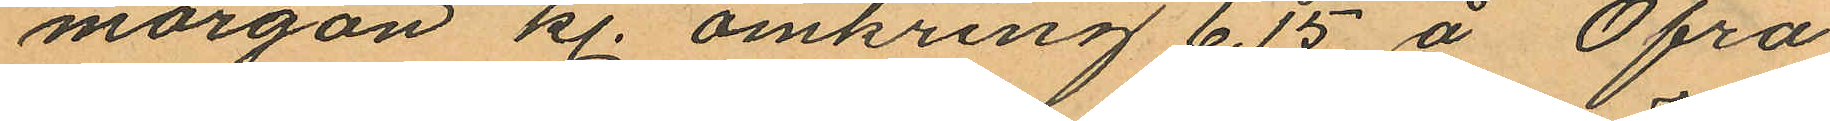morgon kl. omkring 6,15 å Öfra
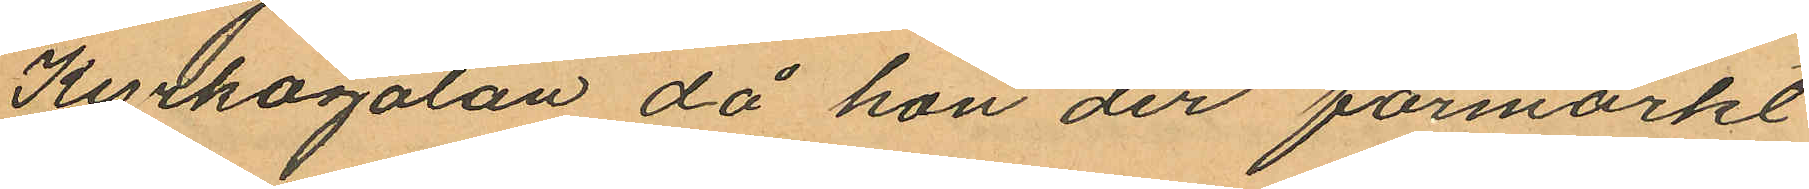Kyrkogatan, då hon der förmärkt
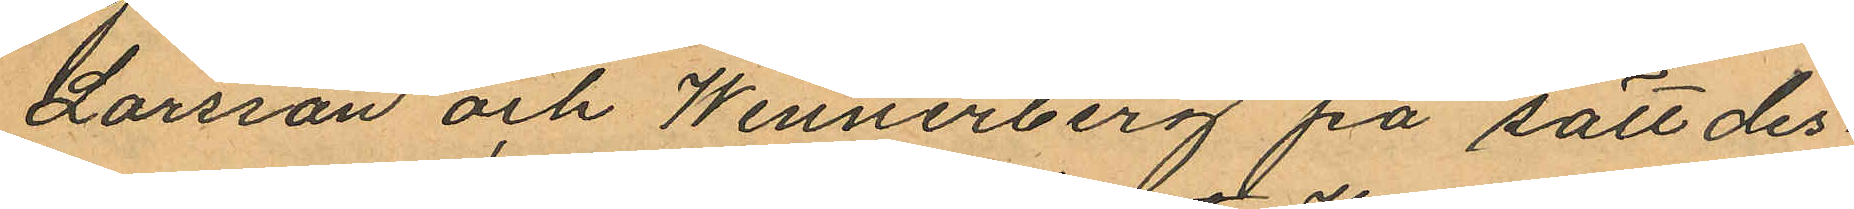Larsson och Wennerberg på sätt des¬
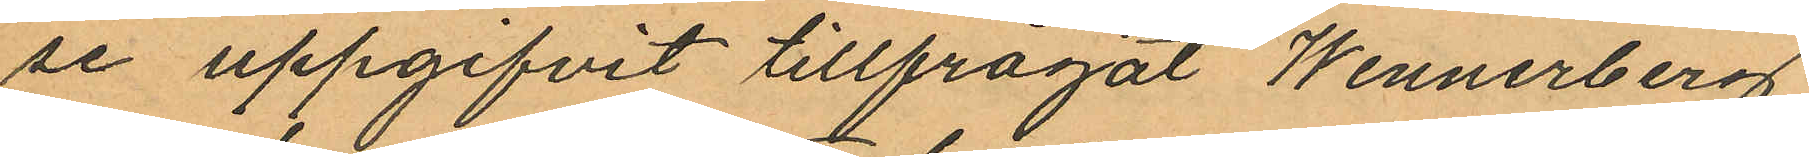se uppgifvit tillfrågat Wennerberg
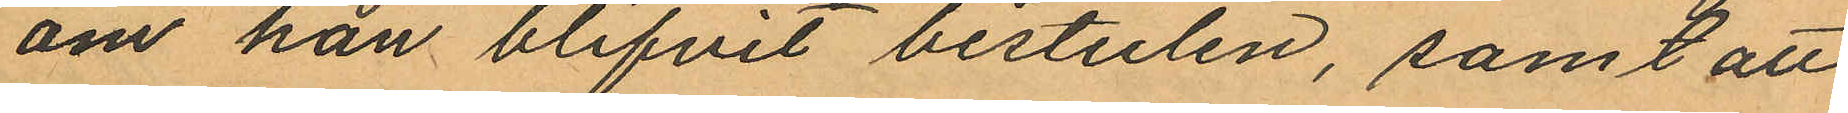om han blifvit bestulen, samt att
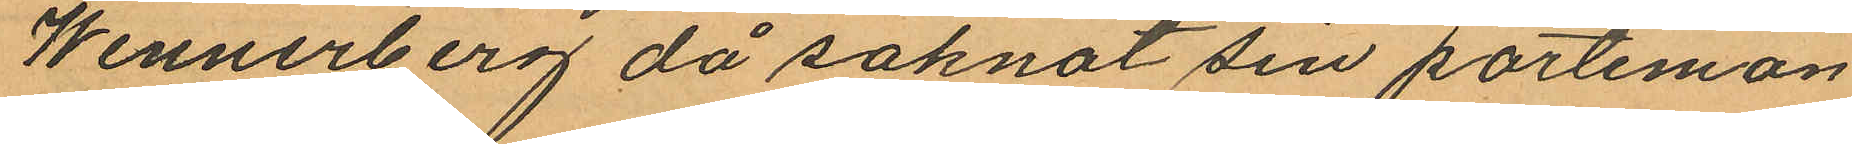Wennerberg då saknat sin portemon
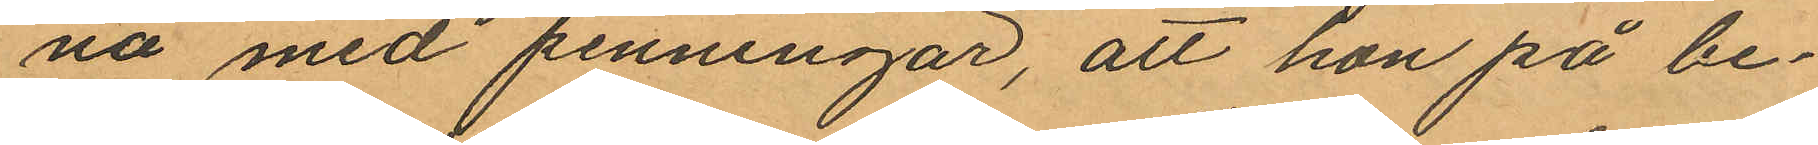nä med penningar, att hon på be¬
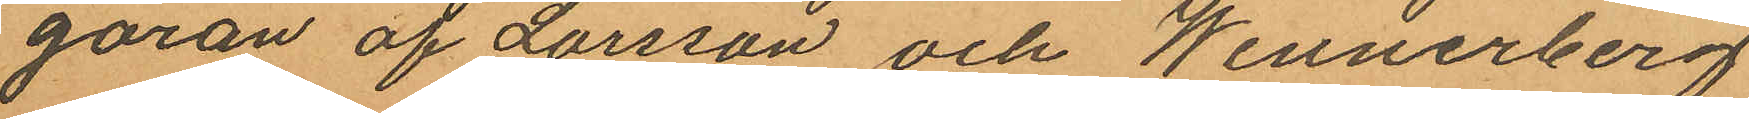garan af Larsson och Wennerberg
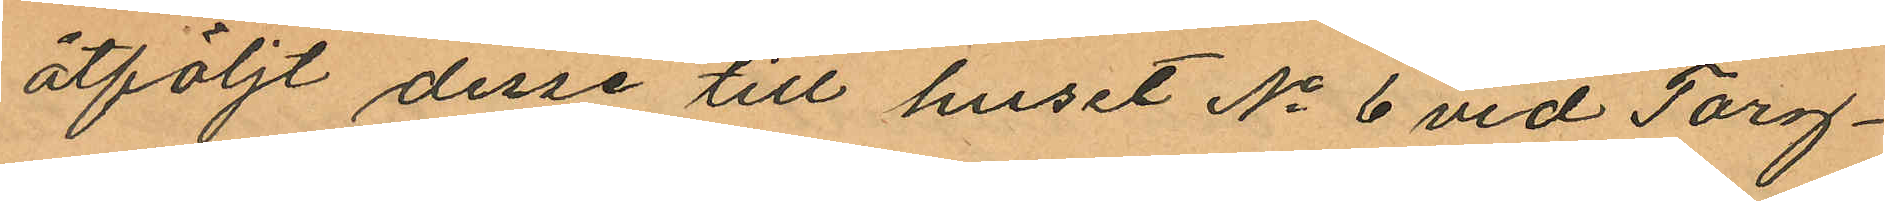åtföljt desse till huset No 6 vid Torg¬
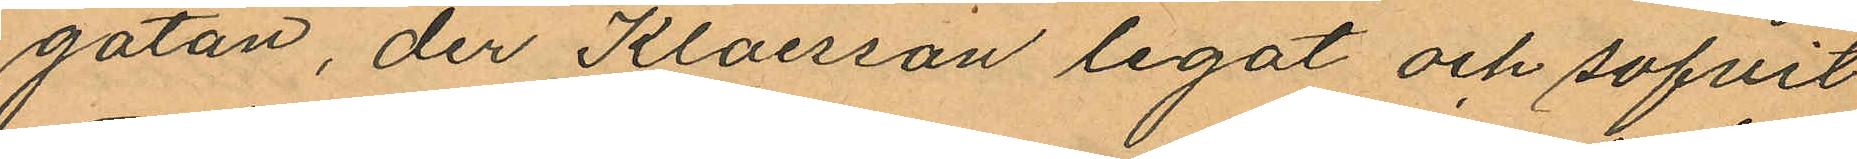gatan, der Klaesson legat och sofvit
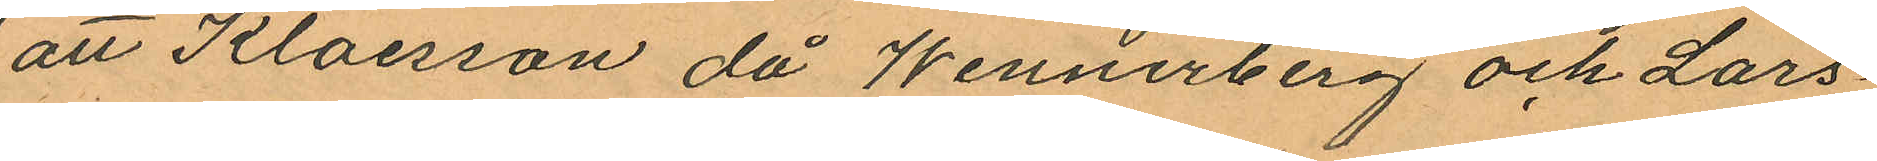att Klaesson då Wennerberg och Lars¬
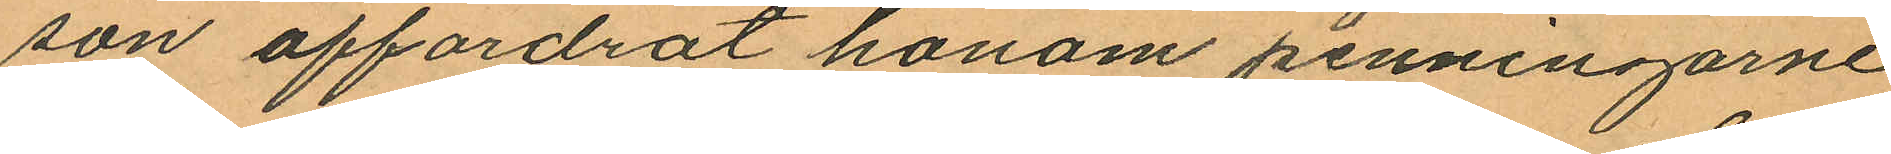son affordrat honom penningarne
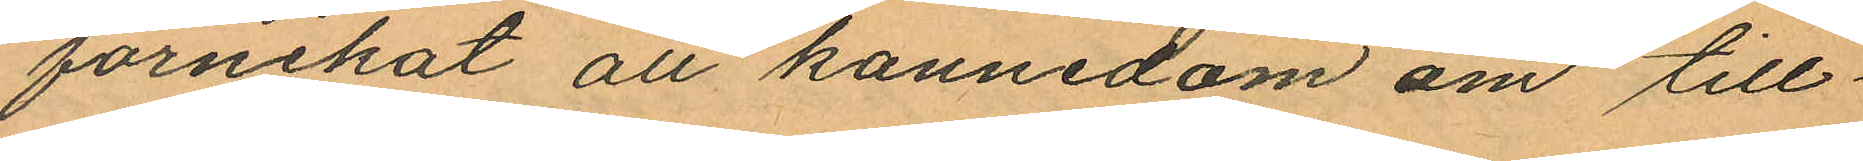förnekat all kannedom om till¬
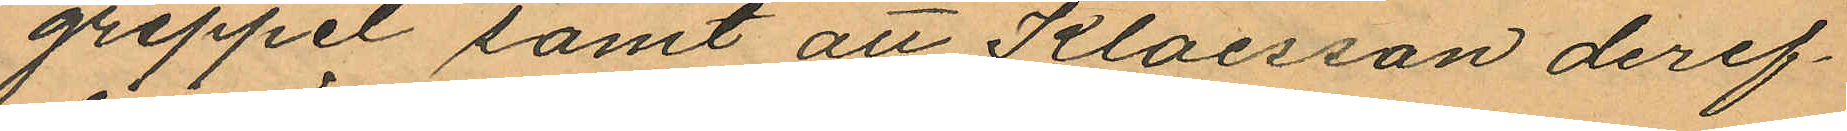greppet samt att Klaesson deref¬
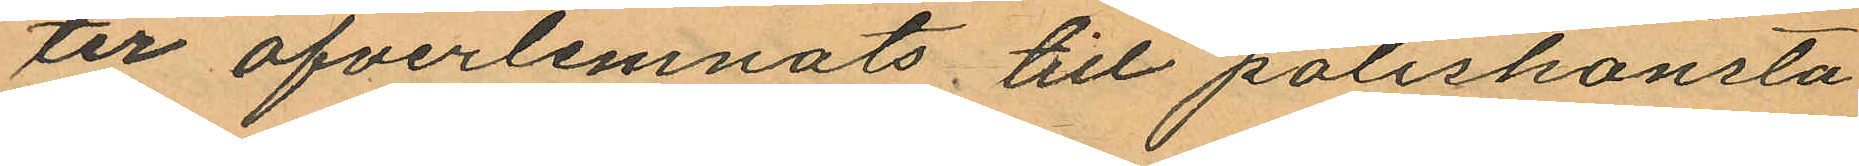ter öfverlemnats till poliskonsta
